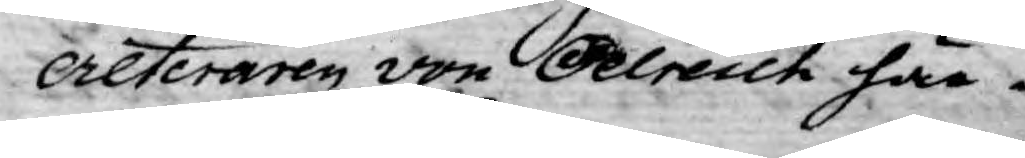creteraren von Oelreich här¬
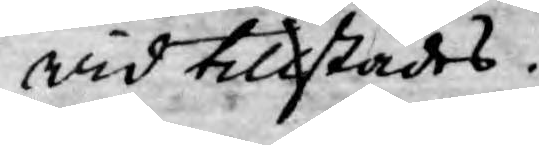wid tillstädes.
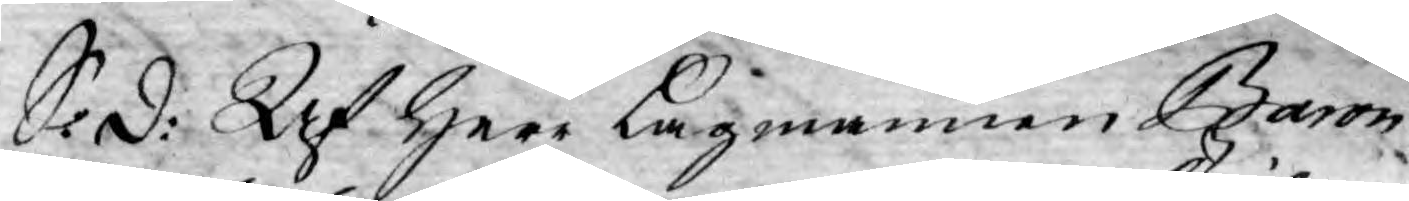S: d: Af Herr Lagmannen Baron
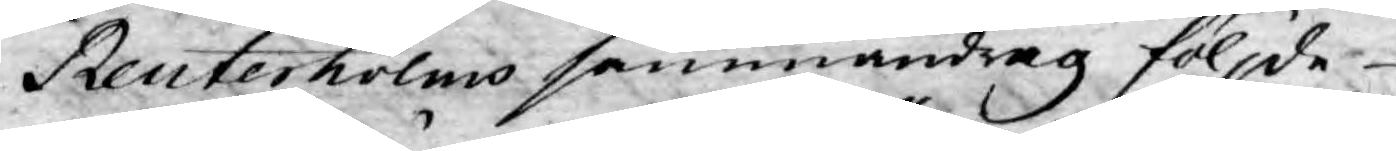Reuterholms sammandrag följde
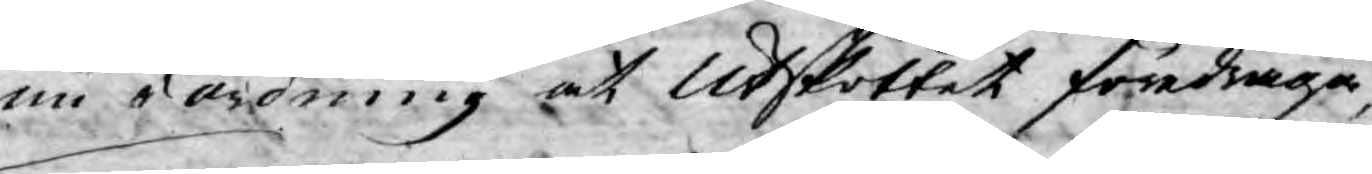nu i ordning at Utskottet föredraga,
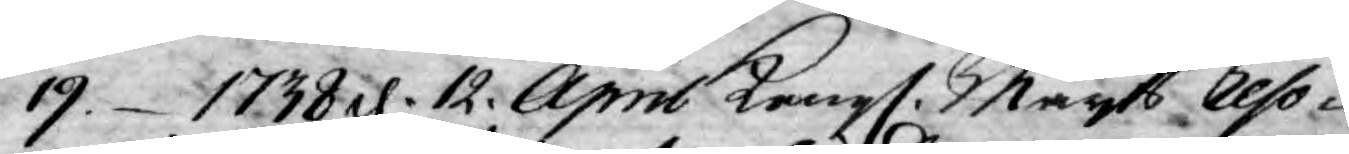19.1738 d. 12. April Kongl. Mayts Reso¬
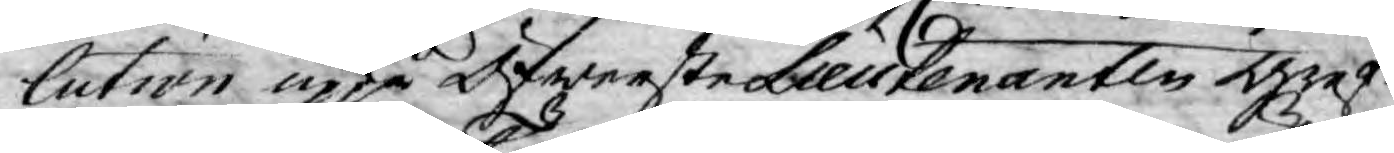lution uppå Öfwerste Lieutenanten Gref¬
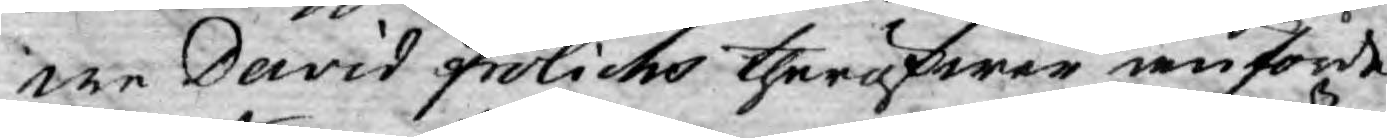we David Frölichs theröfwer anförde
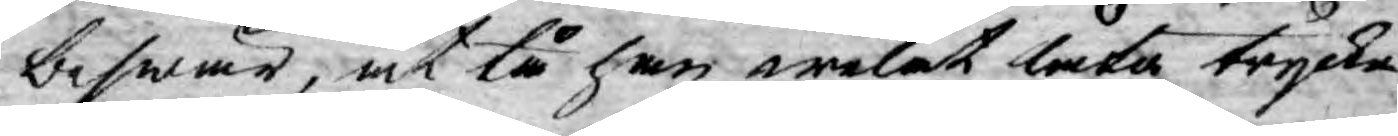beswär, at tå han welat låta trycka
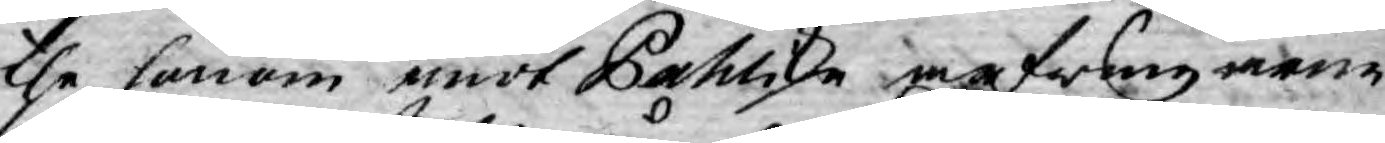the honom emot Pahliske arfwingarne
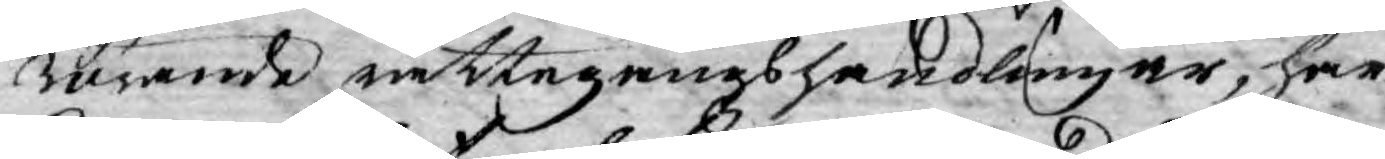rörande rättegångshandlingar, har
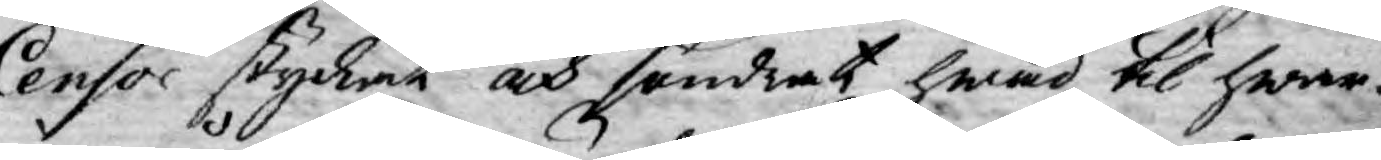Censor styckat och söndrat hwad til hwar¬
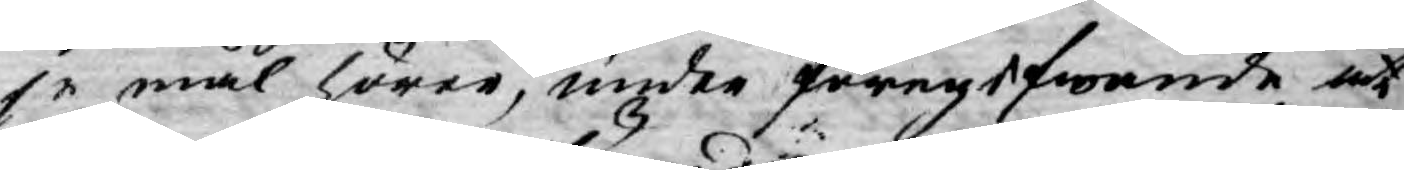je mål hörer, under föregifwande at
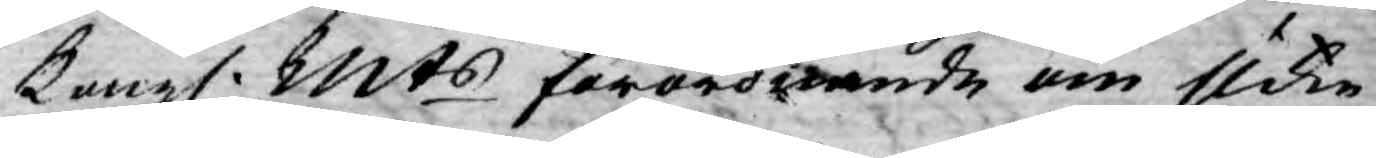Kongl. Mts förordnande om slika
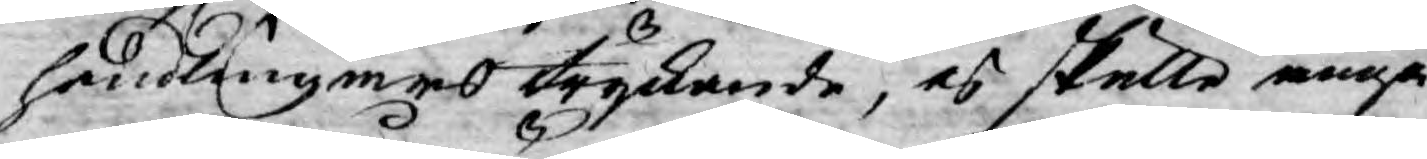handlingars tryckande, ej skulle angå
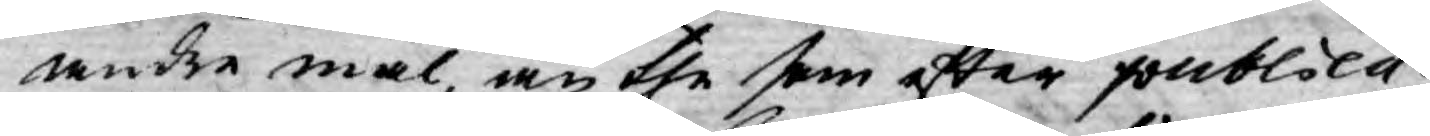andre mål än the som efter publica¬
